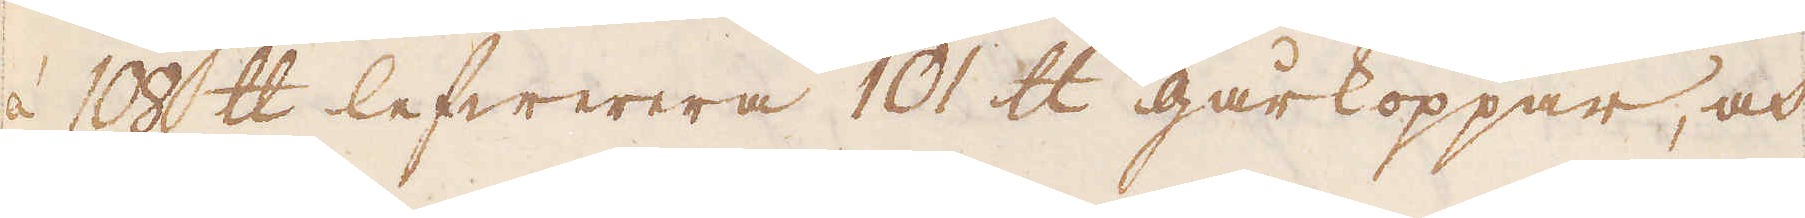à 108 skålpund lefwerera 101 skålpund gårkoppar, och
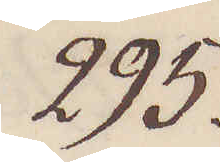295.
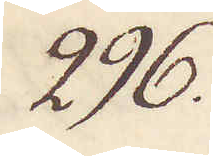296.
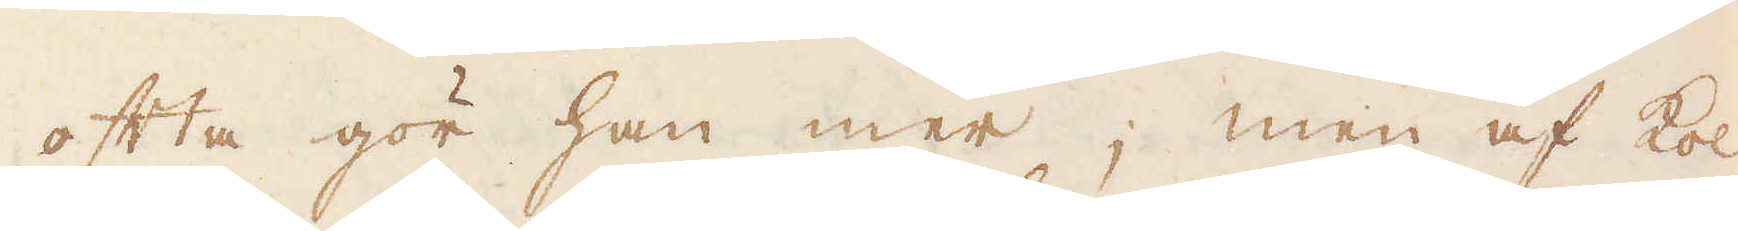ofta gör han mer; men af kol
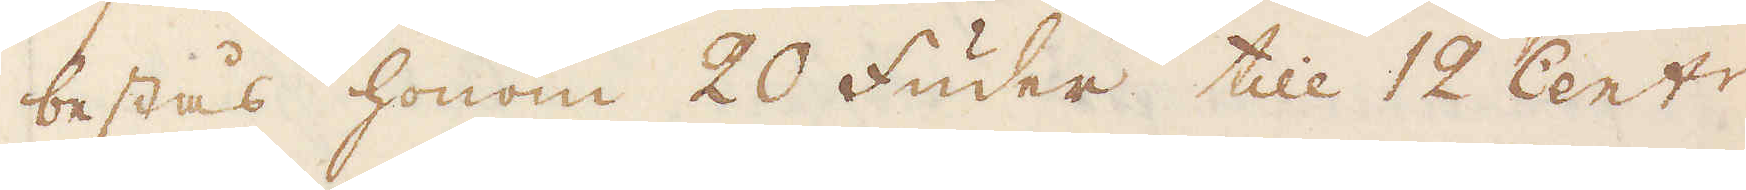bestås honom 20 Fuder till 12 Cent:r
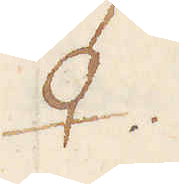♀.
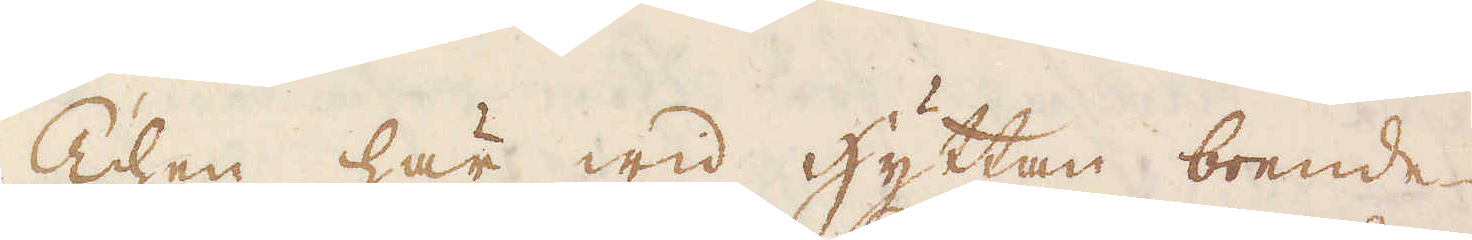Then här wid hyttan boende
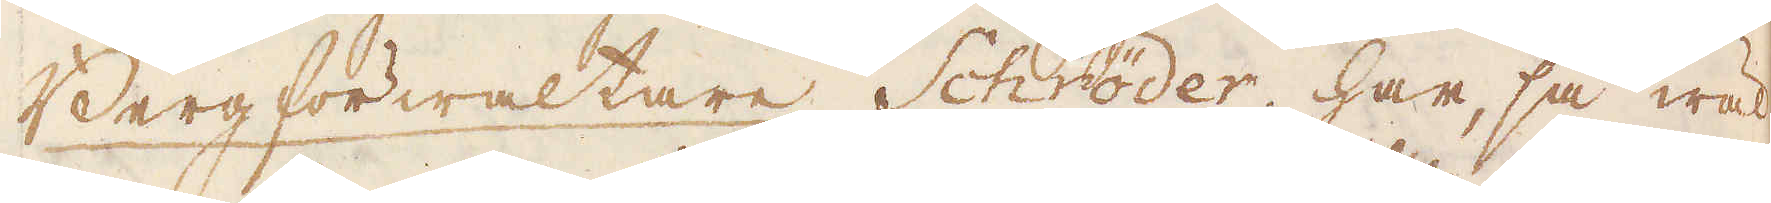Berg förwaltare Schröder har, så wäl
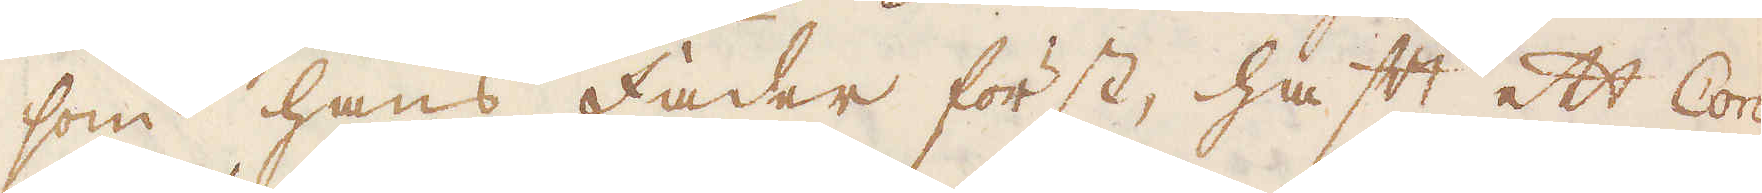som hans fäder först, haft ett Con-
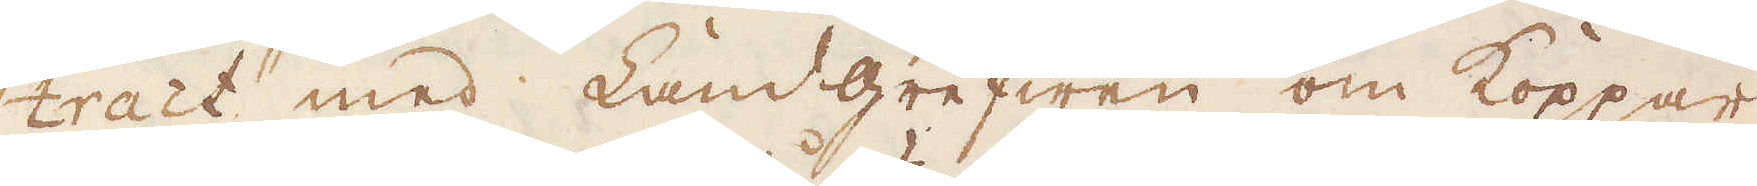tract med Landgrefwen om Koppar-
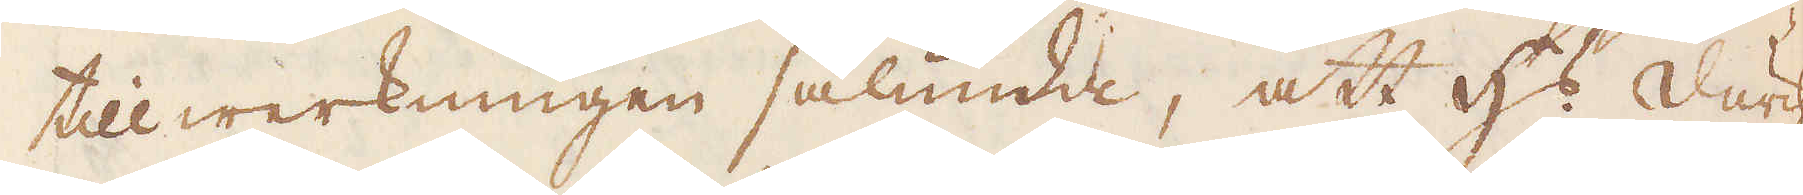tillwerkningen sålunda, att h:s Durch:
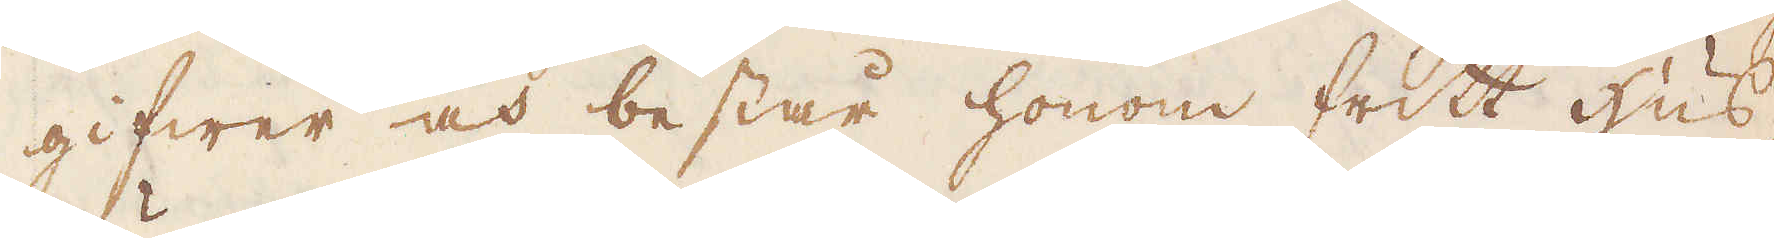gifwer och består honom fritt hus-
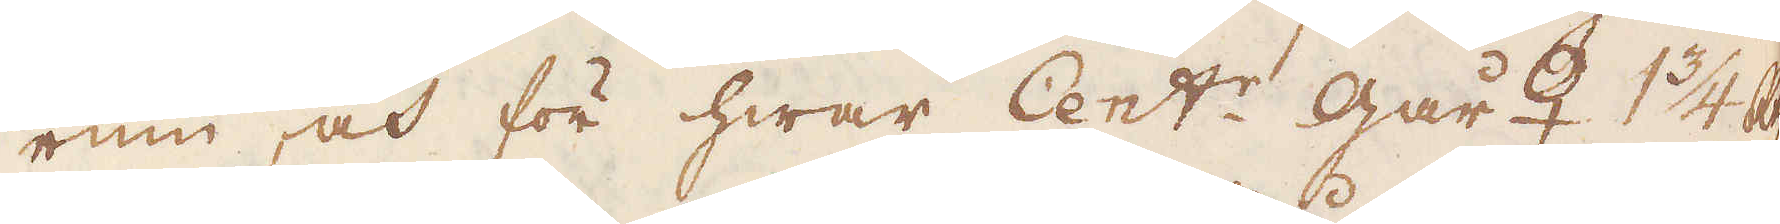rum, och för hwar Cent:r går♀ 1 3/4 R:dr
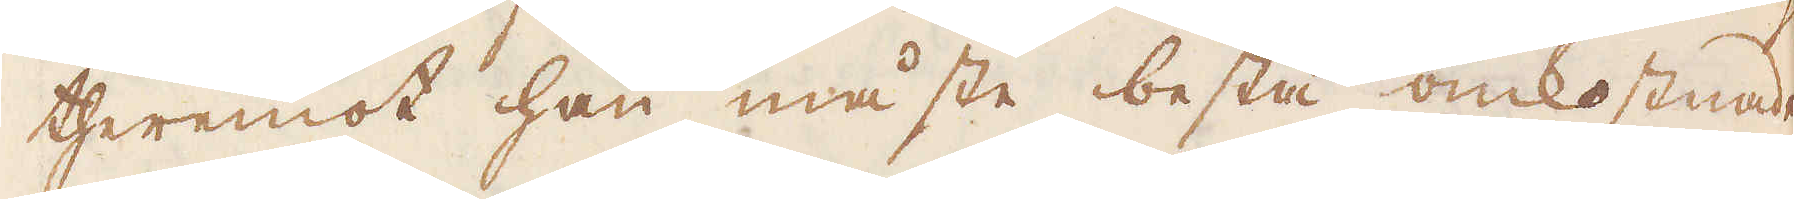theremot han måste bestå omkostnaden
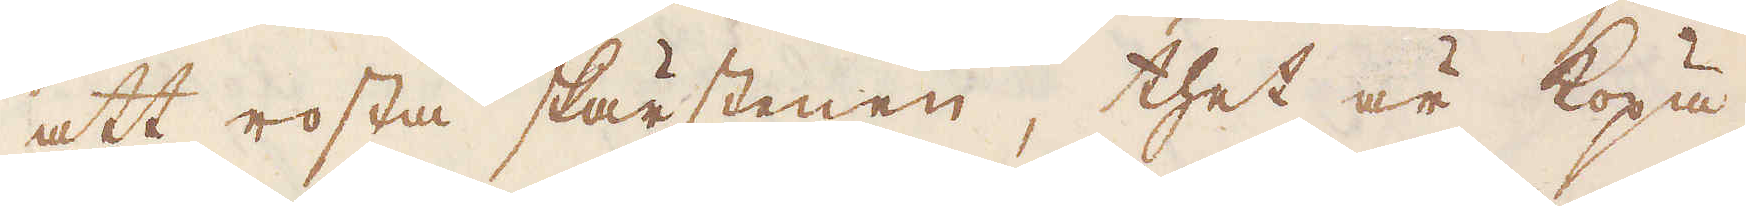att rosta skärstenen, thet är köpa
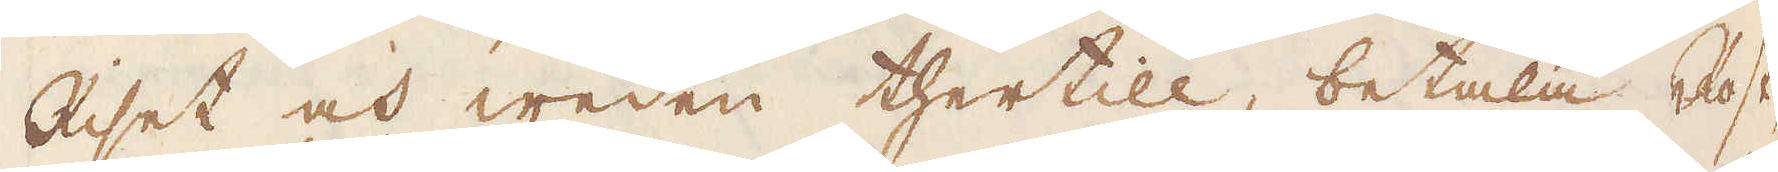Riset och weden thertill, betala Rost-
